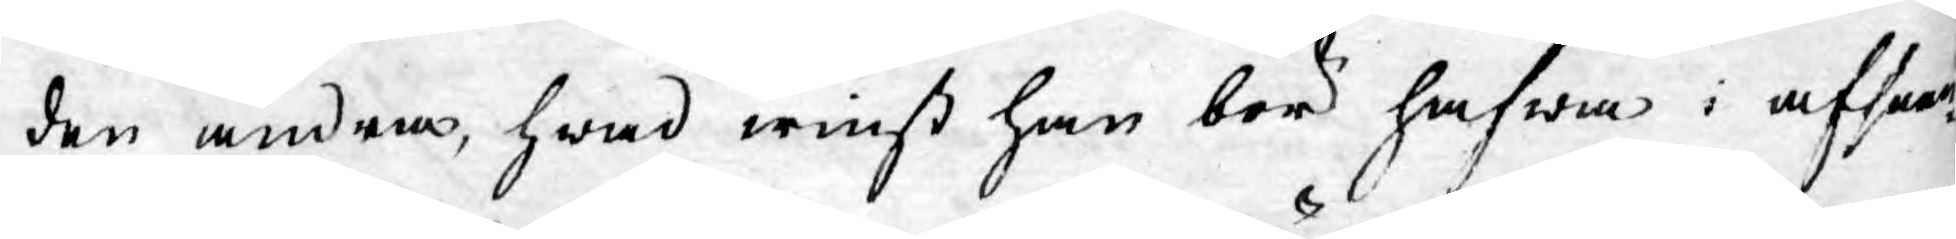den andra, hwad winst han bör hafwa i afseen¬
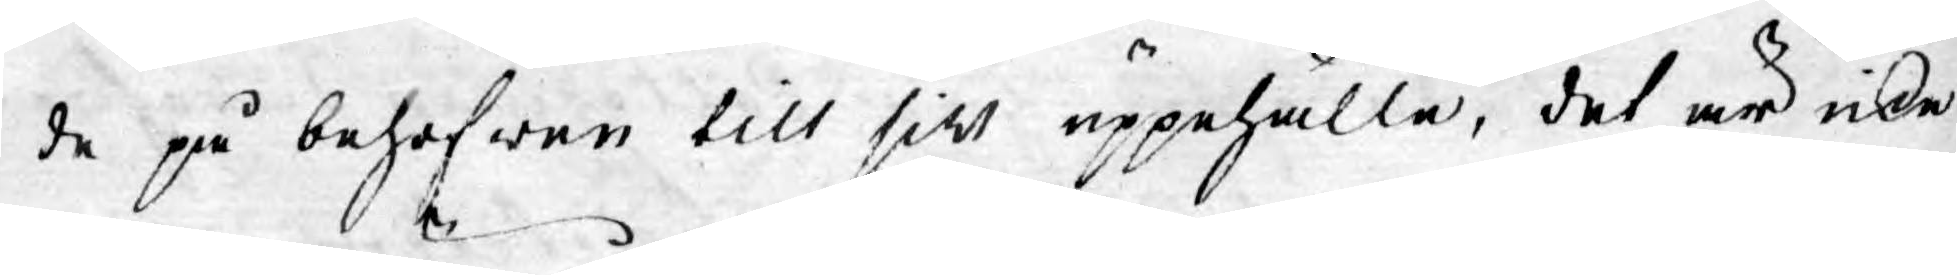de på behofwen till sitt uppehälle, det är icke
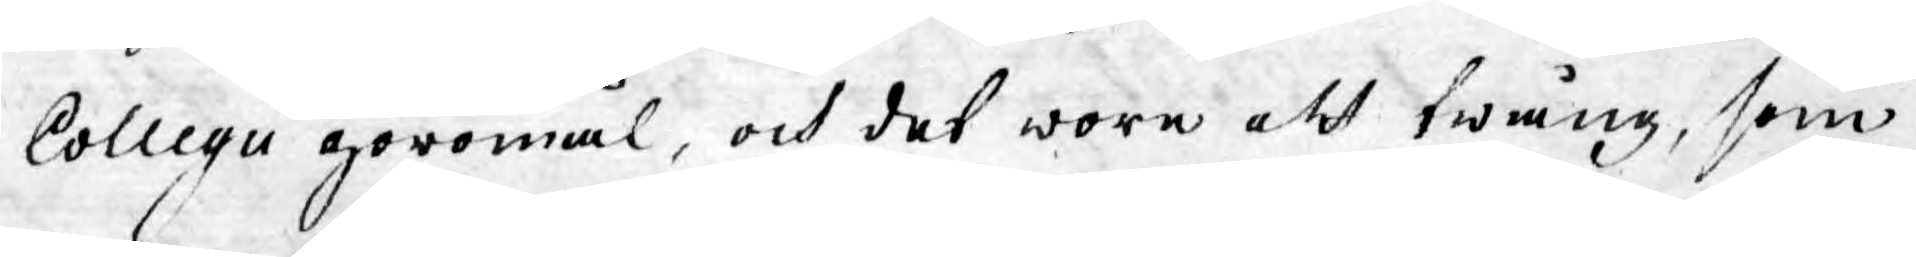Collegii göromål, och det wore ett twång, som
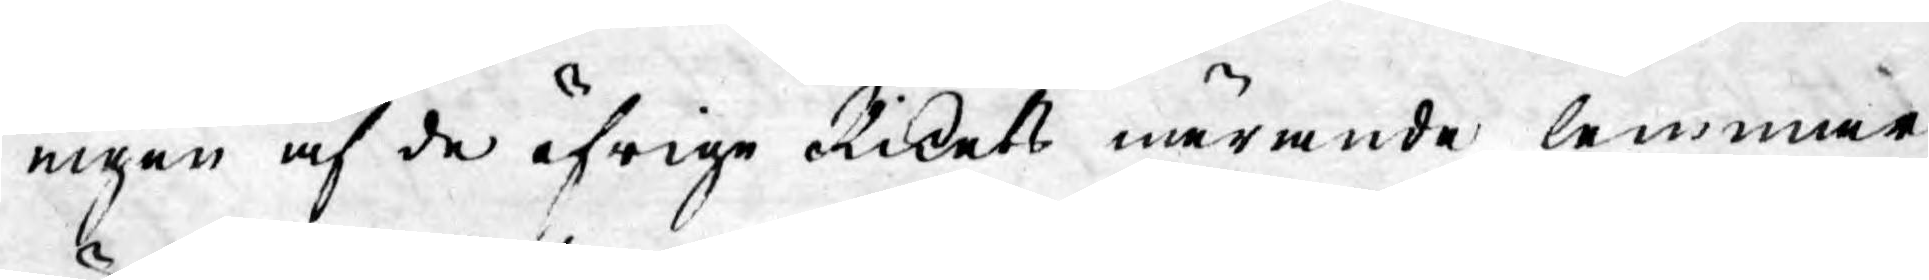ingen af de öfrige Rikets nuwarande lemmar
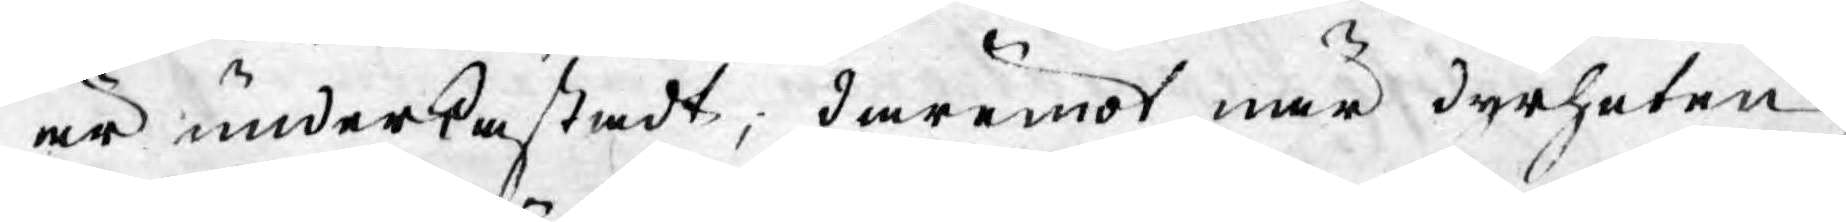är underkastadt; däremot när dyrheten
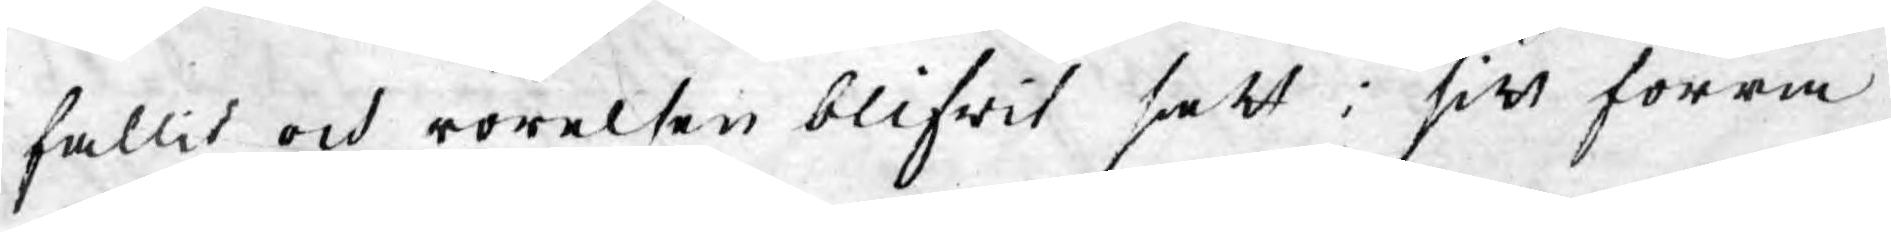fallit och rörelsen blifwit satt i sitt förra
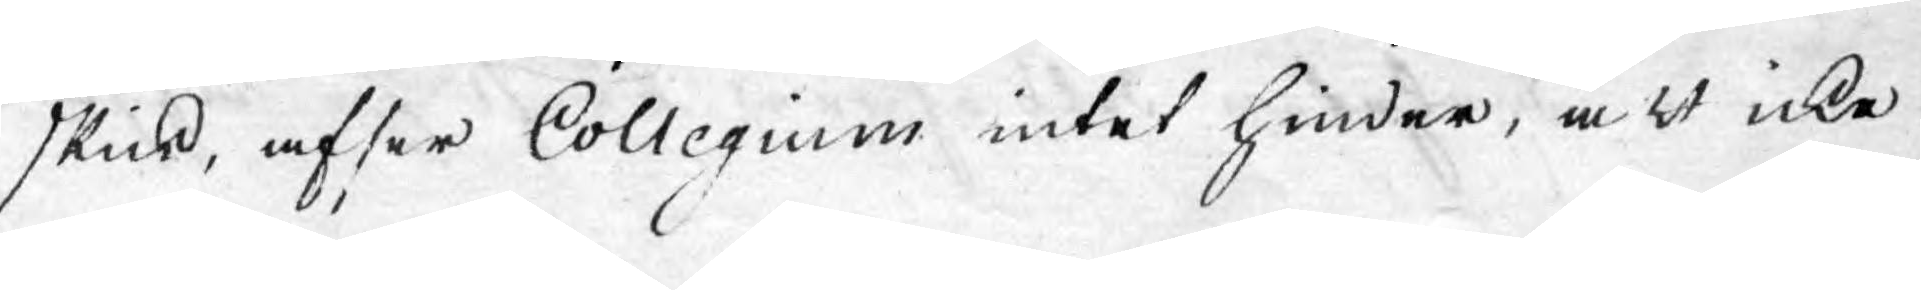skick, afser Collegium intet hinder, att icke
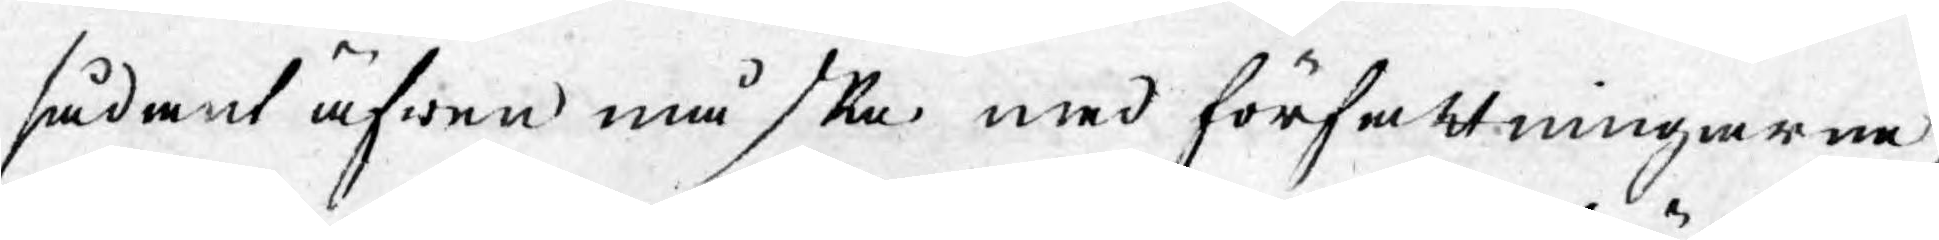sådant äfwen må ske med författningarne,
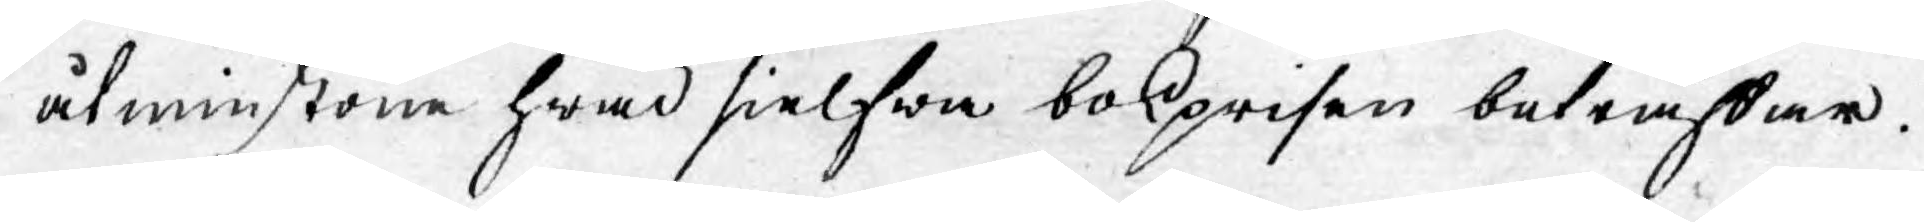åtminstone hwad sielfwa bokprisen beträffar.
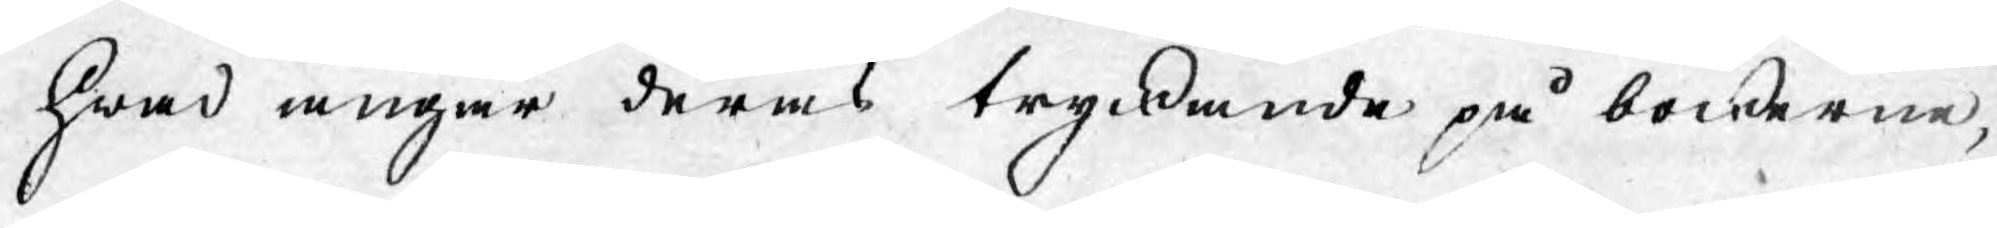Hwad angår deras tryckande på böckerne,
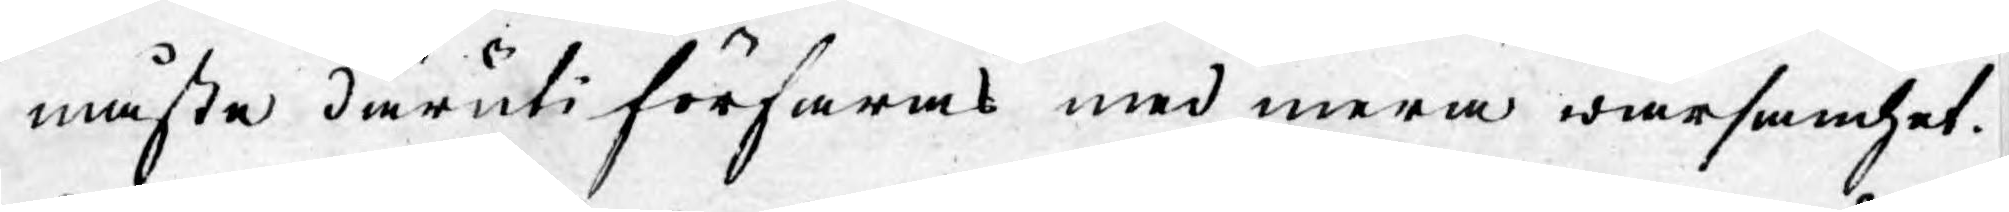måste däruti förfaras med mera warsamhet.
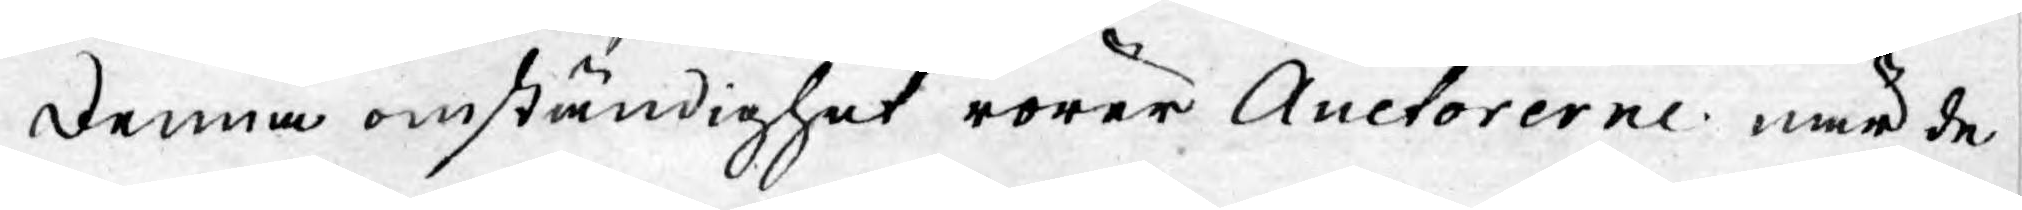Denna omständighet rörer Auctorerne när de
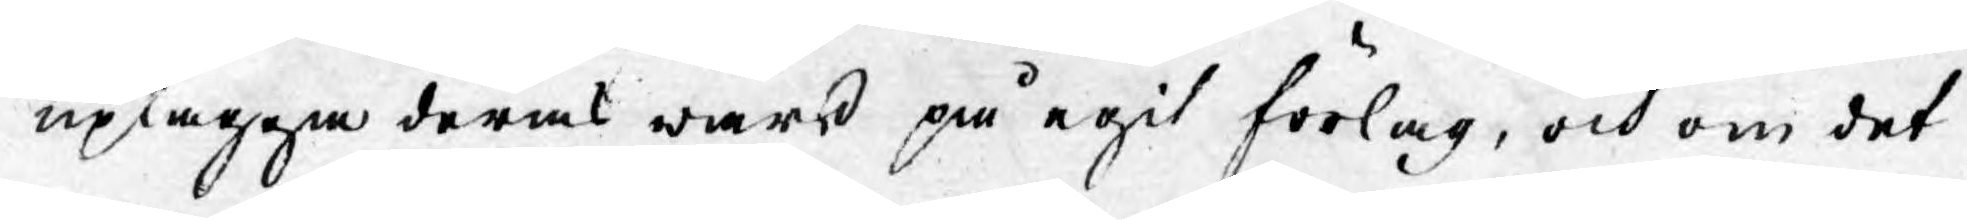uplägga deras wärck på egit förlag, och om det
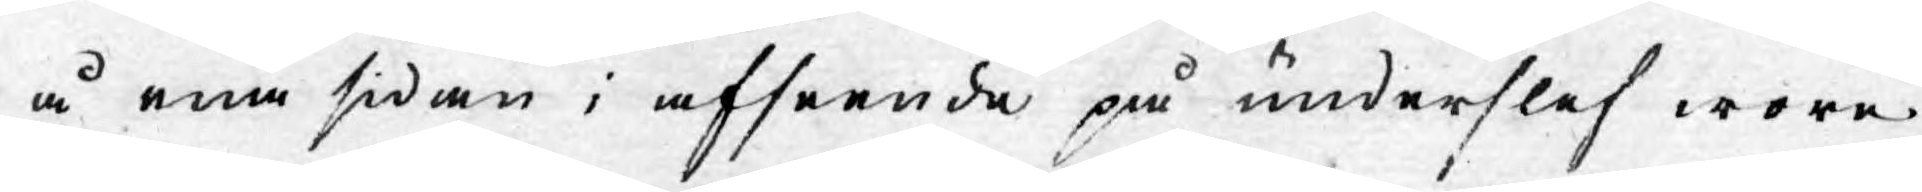å ena sidan i afseende på underslef wore
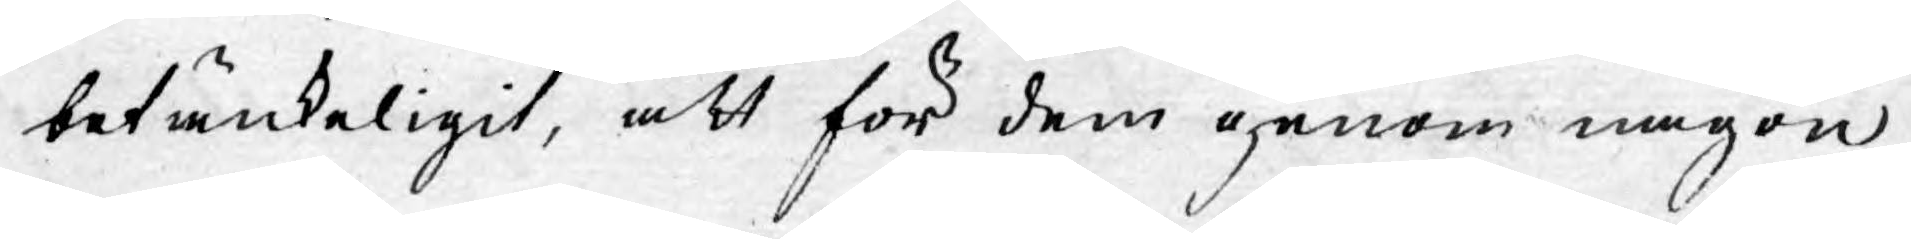betänkeligit, att för dem genom någon
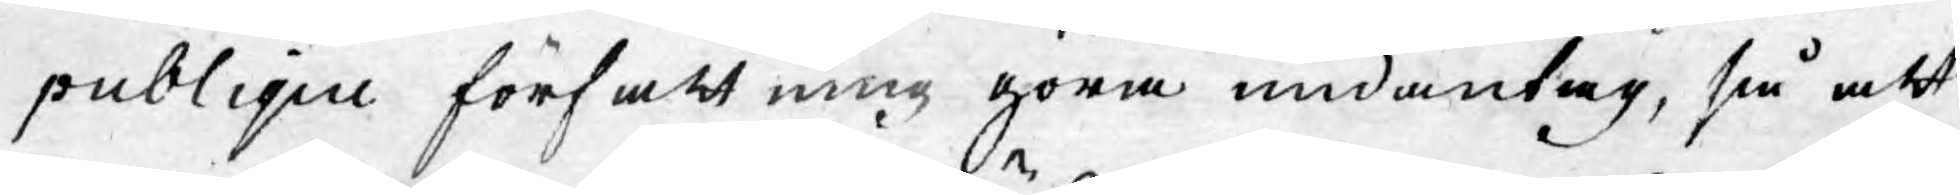publique författning göra undantag, så att
